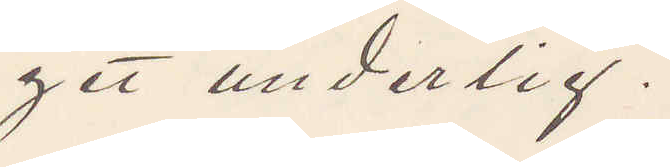get underlig.
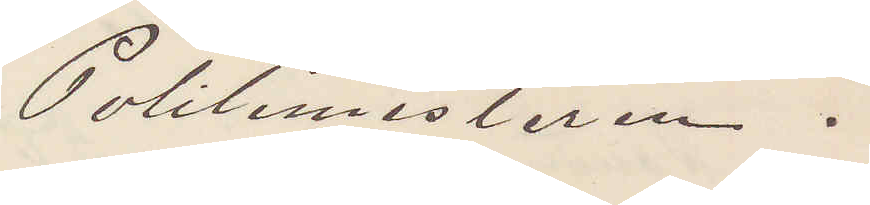Politimesteren.
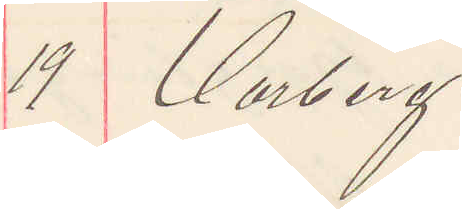19 Varberg.
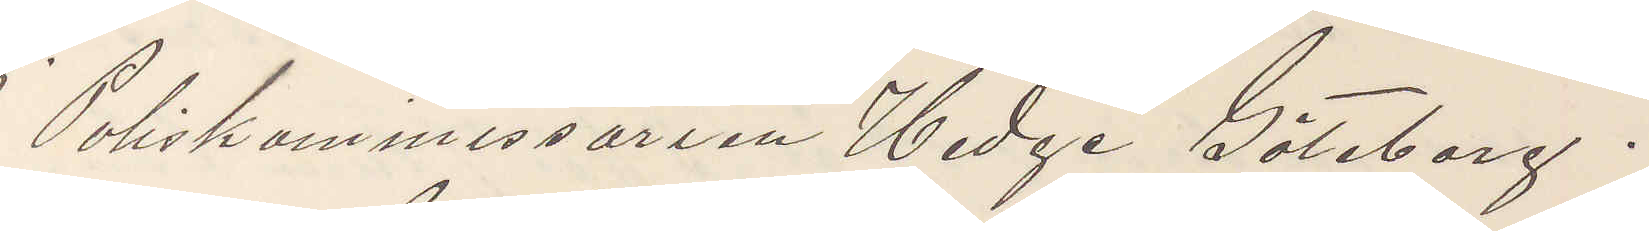Poliskommissarien Hedge Göteborg.
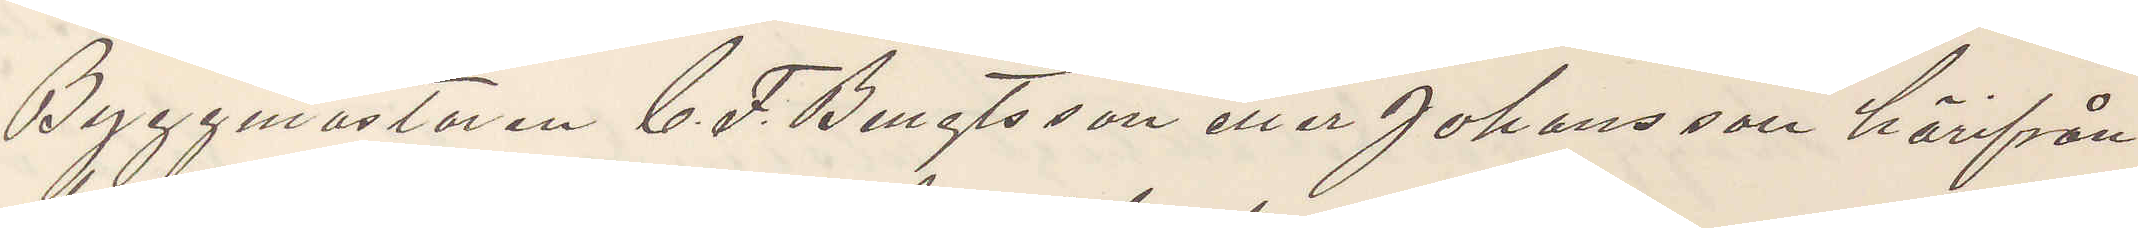Byggmästaren C. F. Bengtsson eller Johansson härifrån
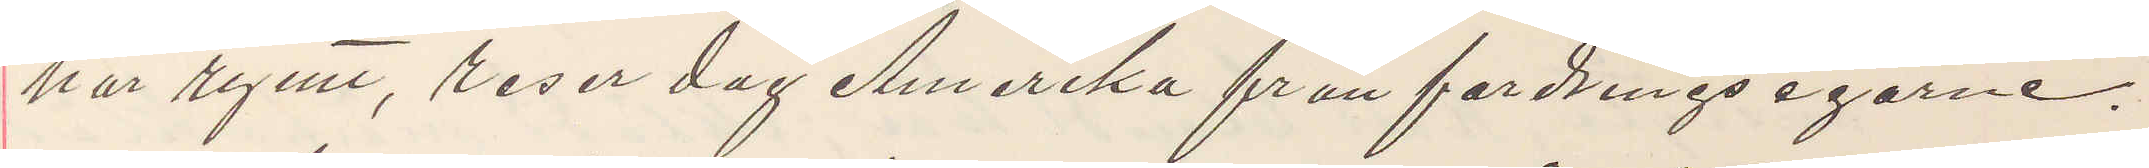har rymt, reser dag Amerika från fordringsegarne.
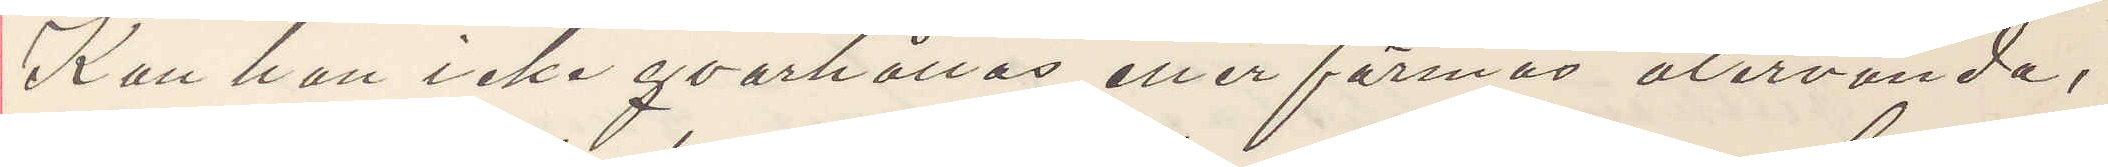Kan han icke qvarhållas eller förmås återvända,
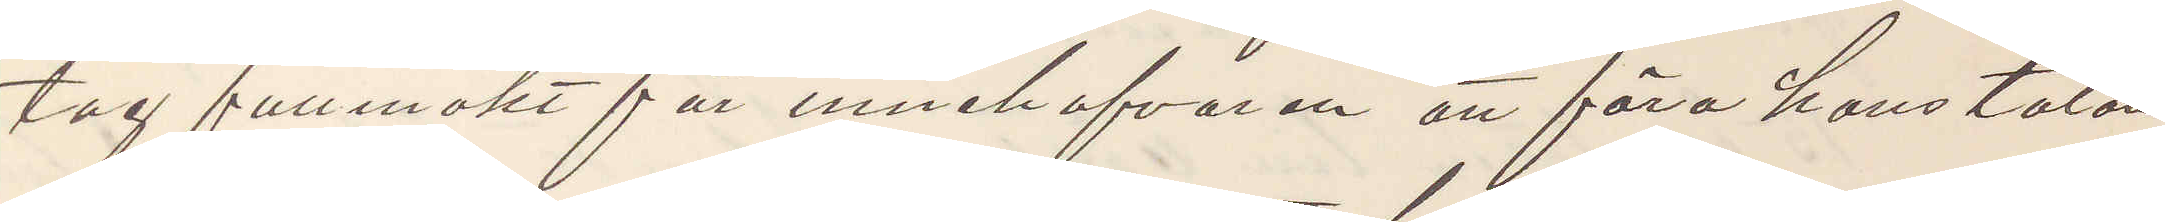tag fullmakt för innehafvaren att föra hans talan
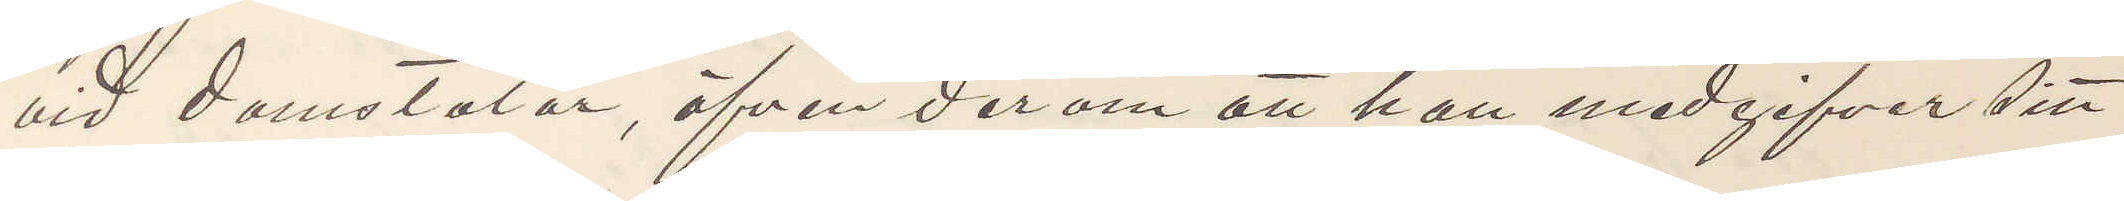vid domstolar, äfven derom att han medgifver sitt
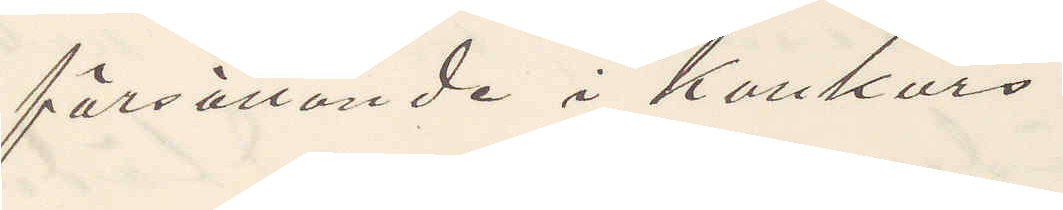försättande i Konkurs
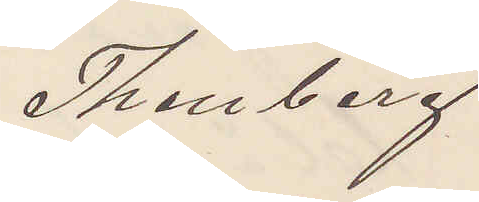Thenberg
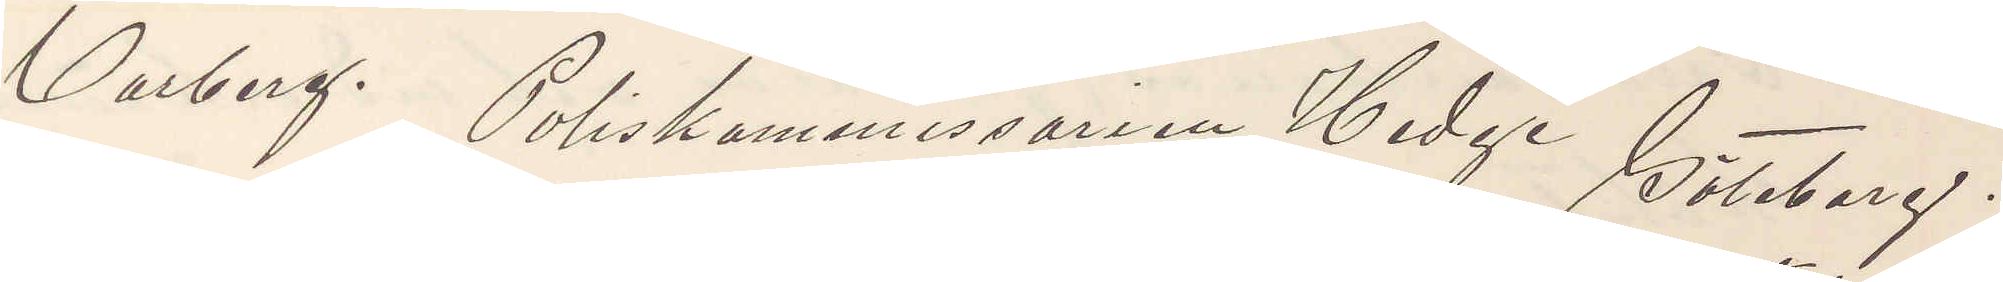Varberg. Poliskommissarien Hedge Göteborg.
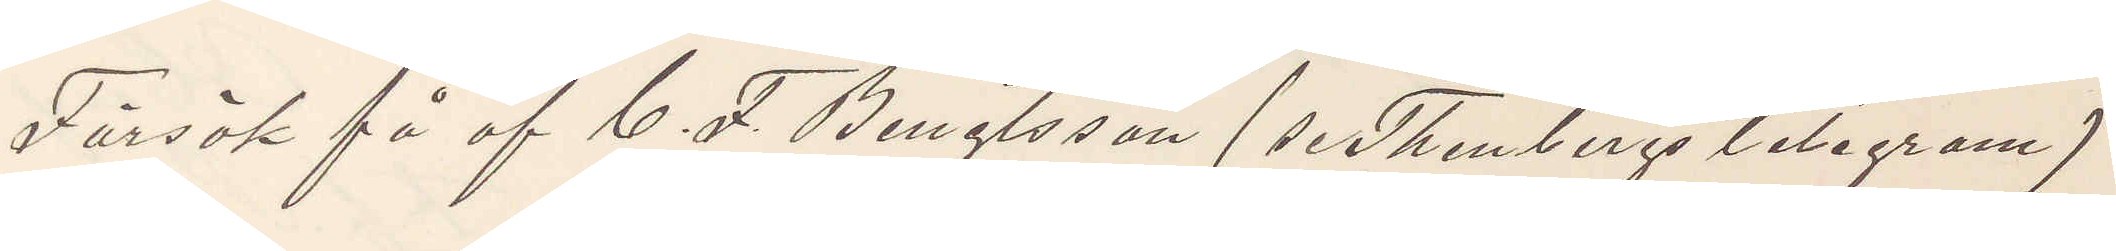Försök få af C. F. Bengtsson (se Thenbergs telegram)
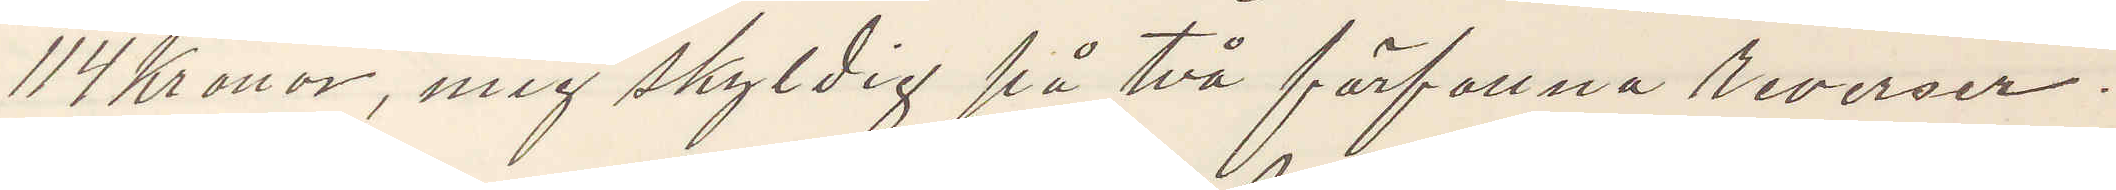114 Kronor, mig skyldig på två förfallna reverser.
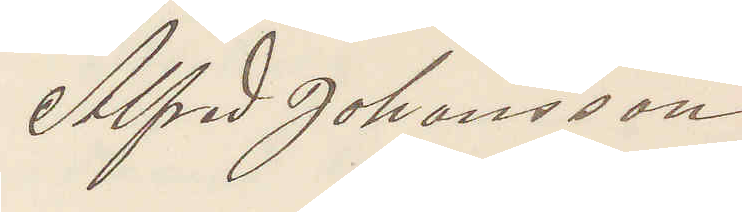Alfred Johansson
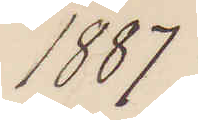1887
